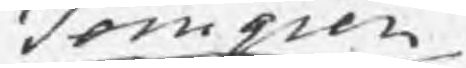Homgien
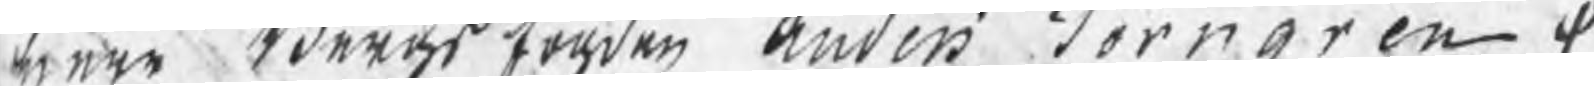nare edergs torden andin Korngren ¬
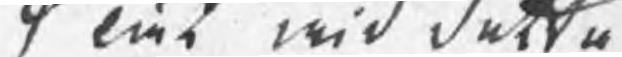lös wid detta
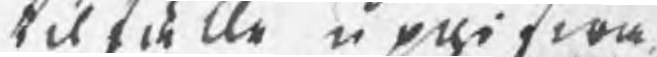til fålle upwifwa
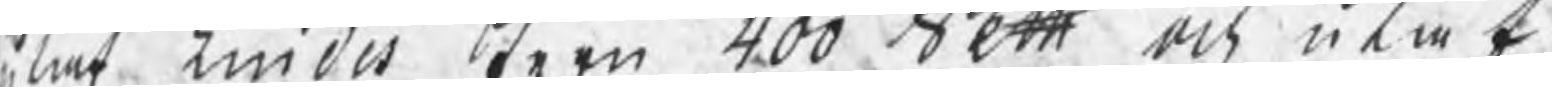at tindit bern 400 Sett och utwik
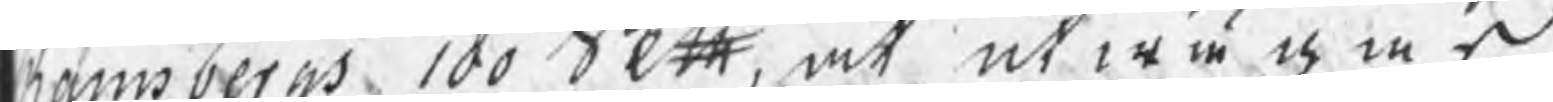Lanbergs 100 Sktt, at utwi ies
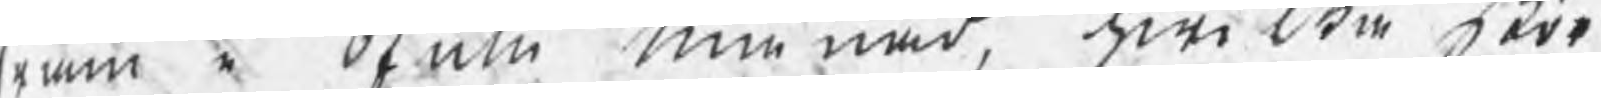rom i Sknmn Munad, hwilan räro
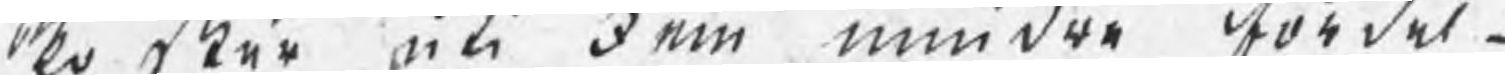lo Stär uti dom mindre Aördel¬
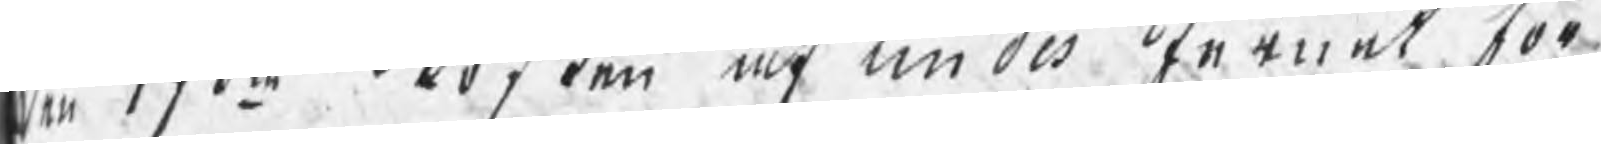år 17do Ooften af tindes ternet vor
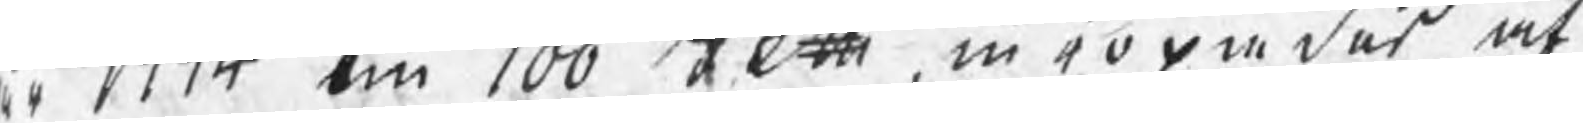oh 1774 om 100 Fett in eo om des af
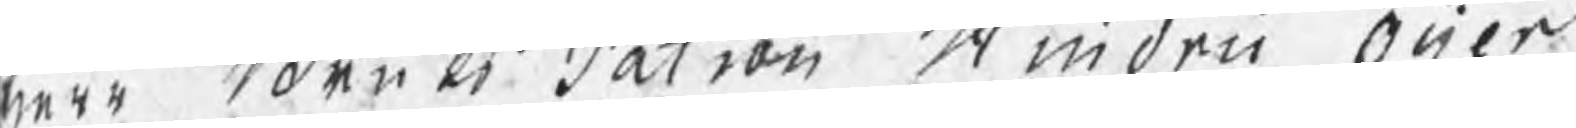wrr Fden bi Satrou Minden Ocien¬
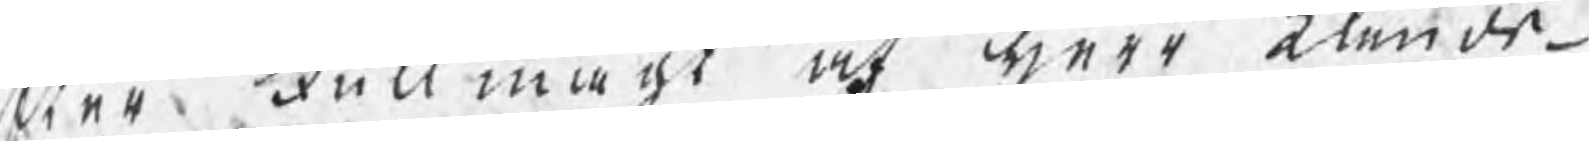ner Full mack, at werr älende¬
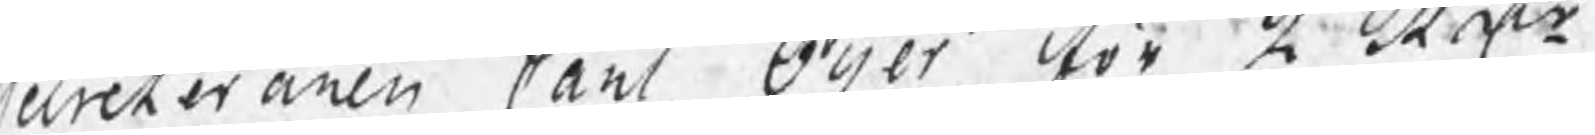cereteraren Canl Oyer för å Rotr
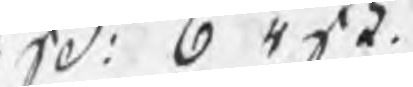W: 0 4tä. 
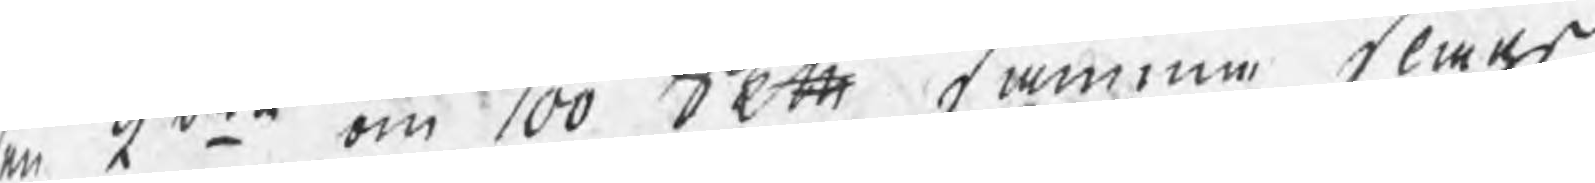en G:omte om 100 Sett namme klårs 
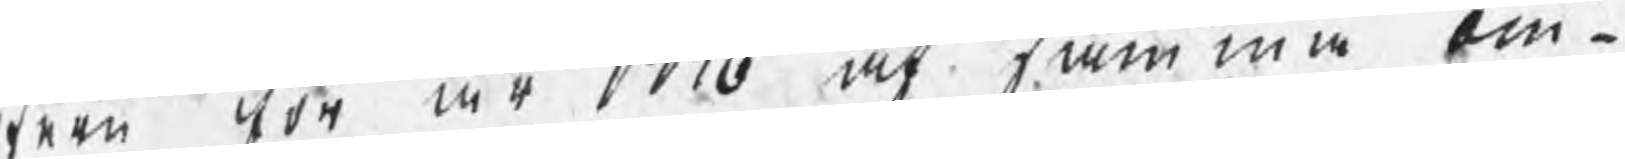faen Aör ar 1776 at tamma bin¬
